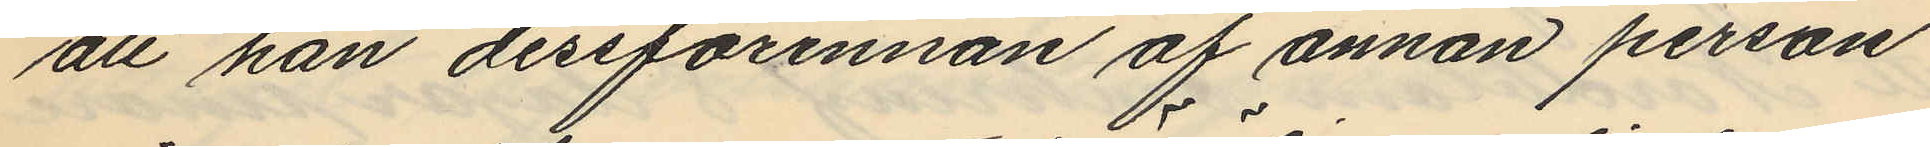att han dersförinnan af annan person
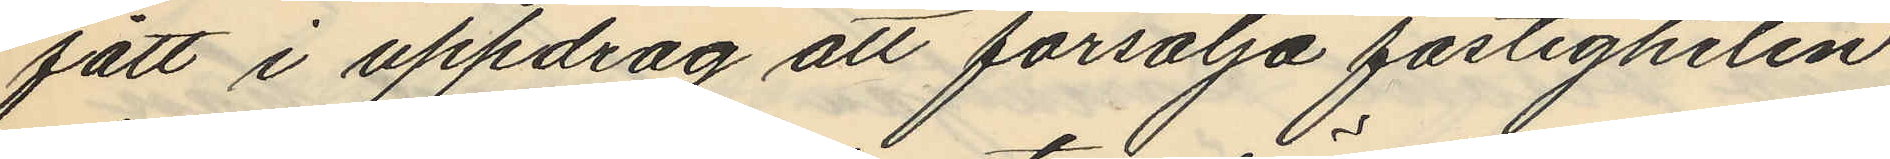fått i uppdrag att försälja fastigheten
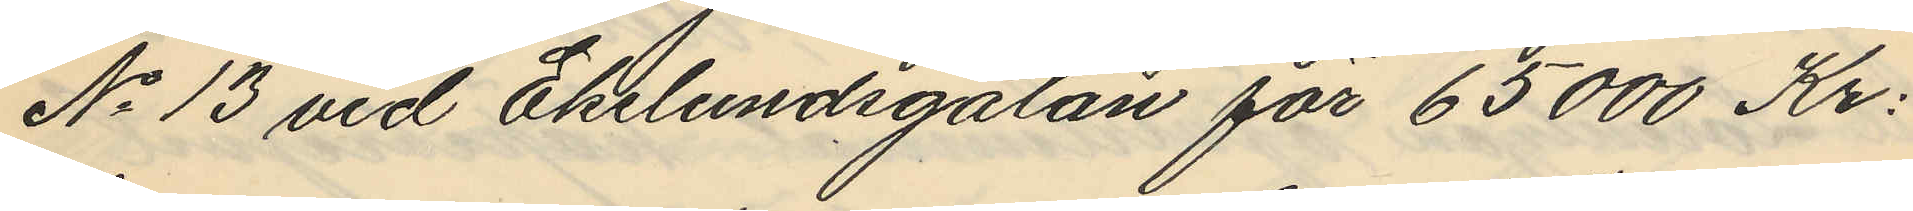No 13 vid Ekelundsgatan för 65000 Kr:
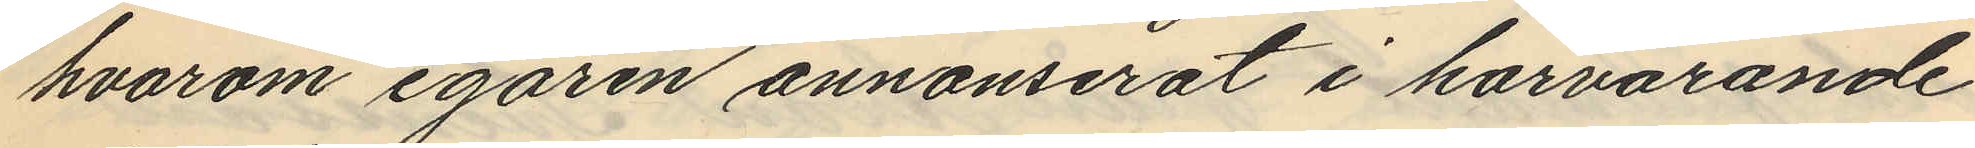hvarom egaren annonserat i härvarande
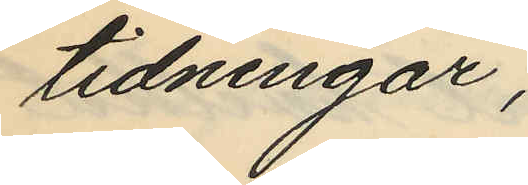tidningar,
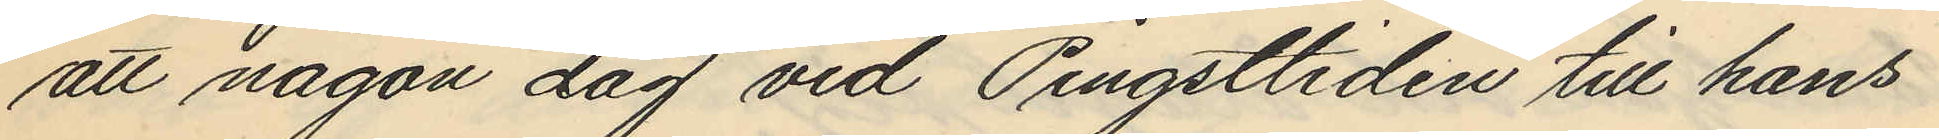att någon dag vid Pingsttiden till hans
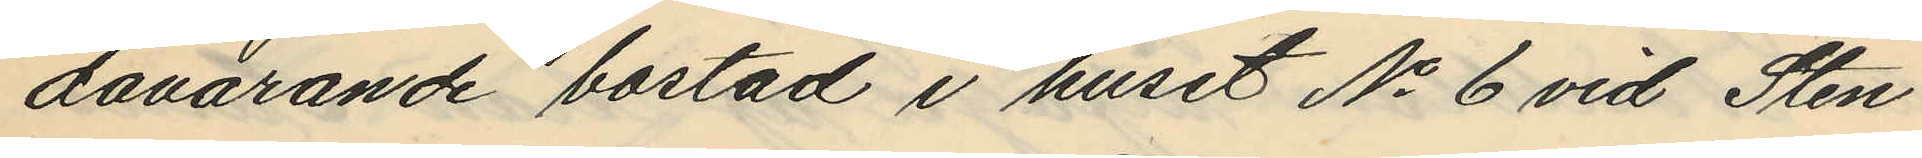dåvarande bostad i huset No 6 vid Sten
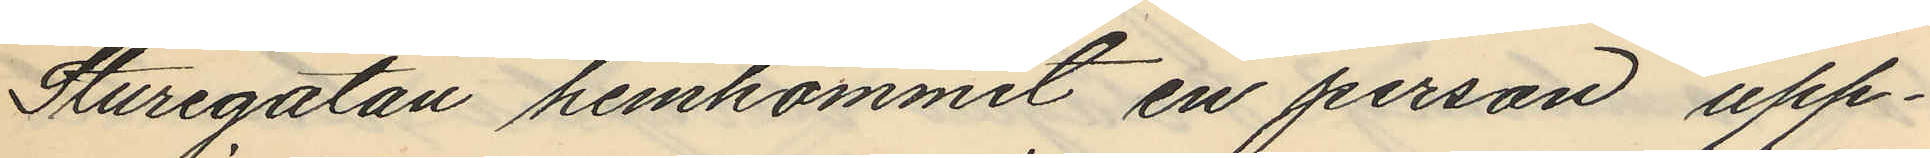Sturegatan hemkommit en person upp¬
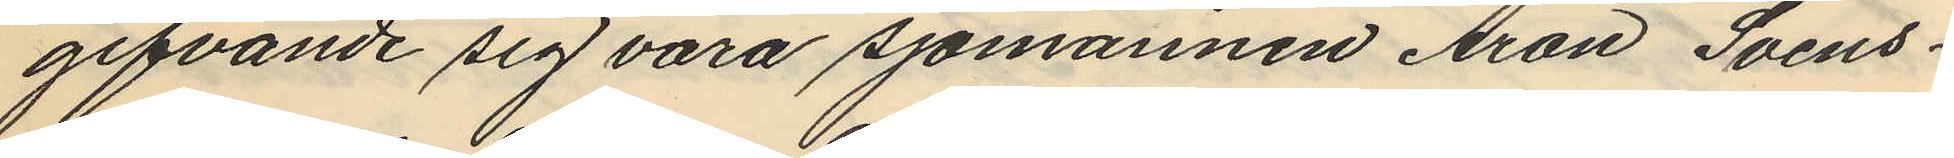gifvande sig vara sjömannen Aron Svens¬
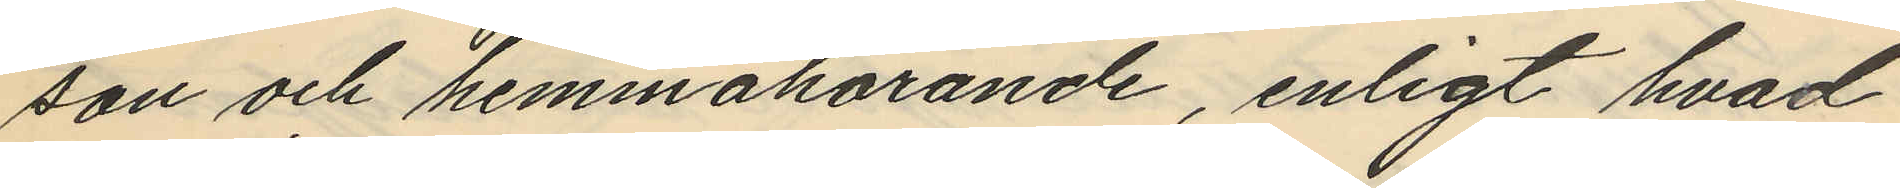son och hemmahörande, enligt hvad
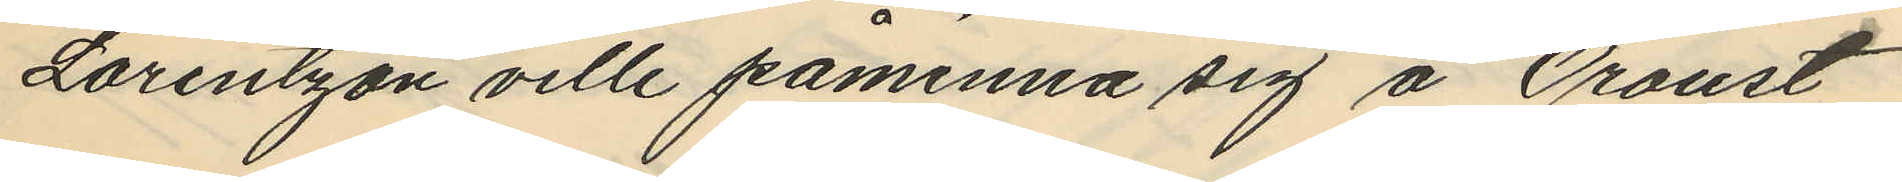Lorentzon ville påminna sig å Oroust
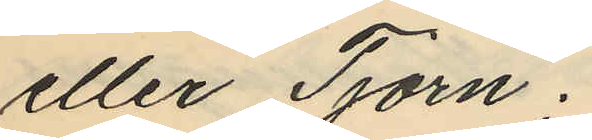eller Tjörn;
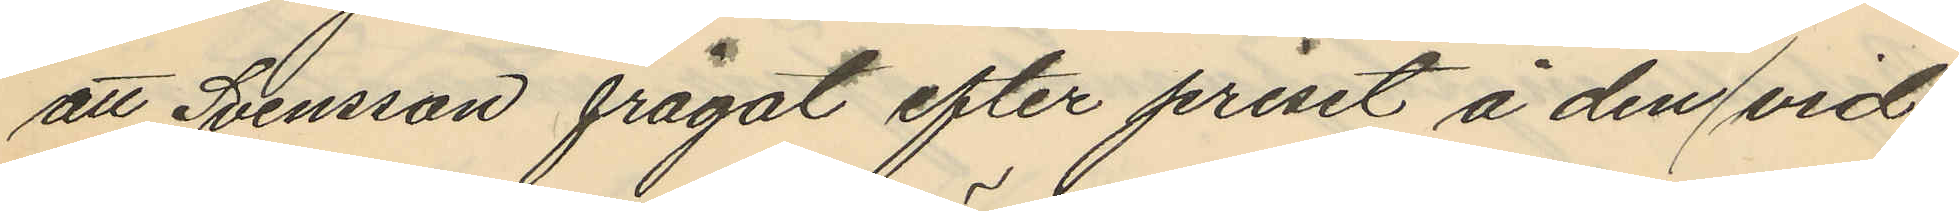att Svensson frågat efter priset å den vid
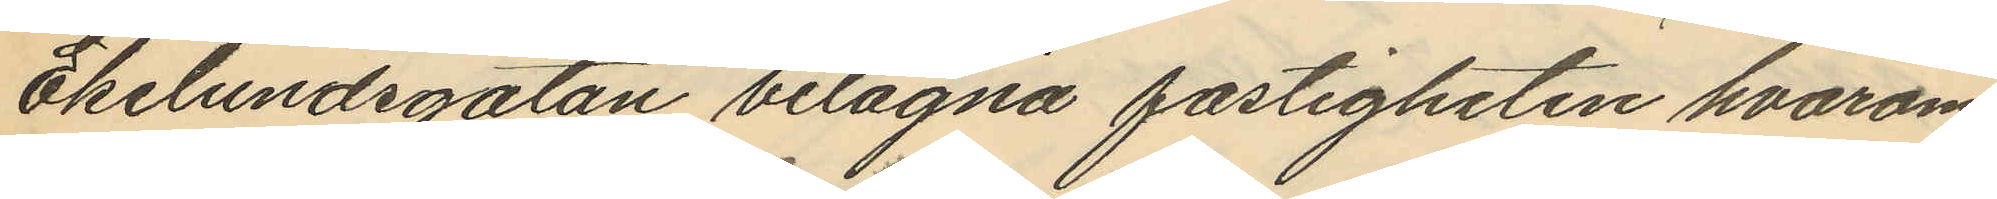Ekelundsgatan belägna fastigheten hvarom
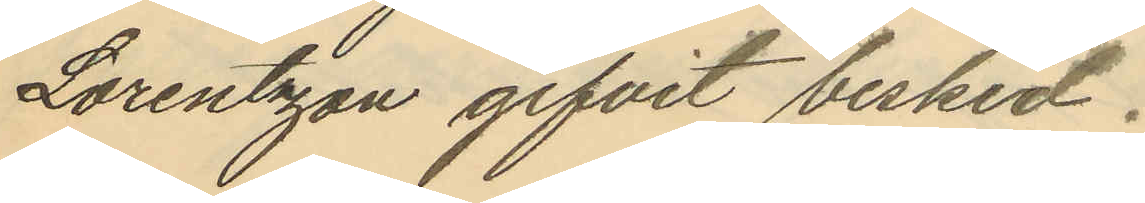Lorentsgan gifvit besked.
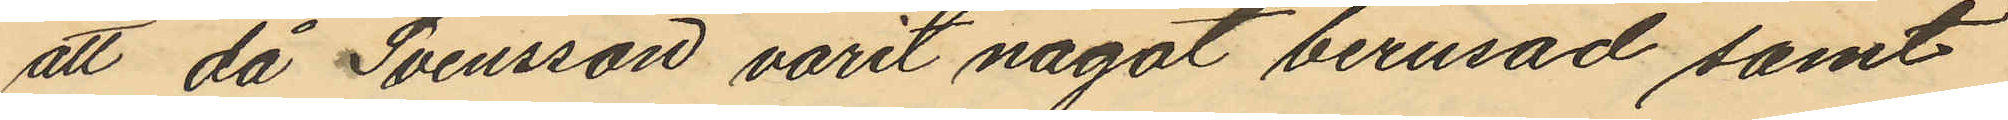att då Svensson varit något berusad samt
